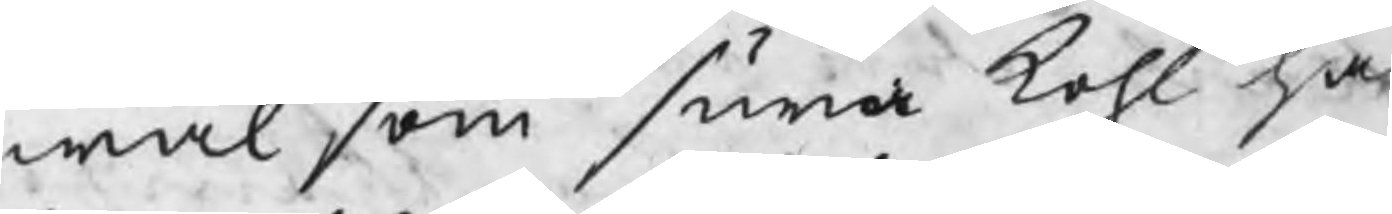wäl som sura kohl har
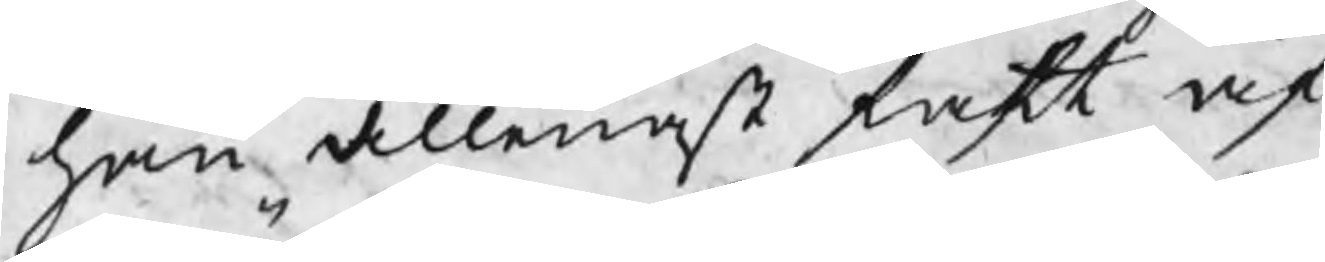han allenast fatt af
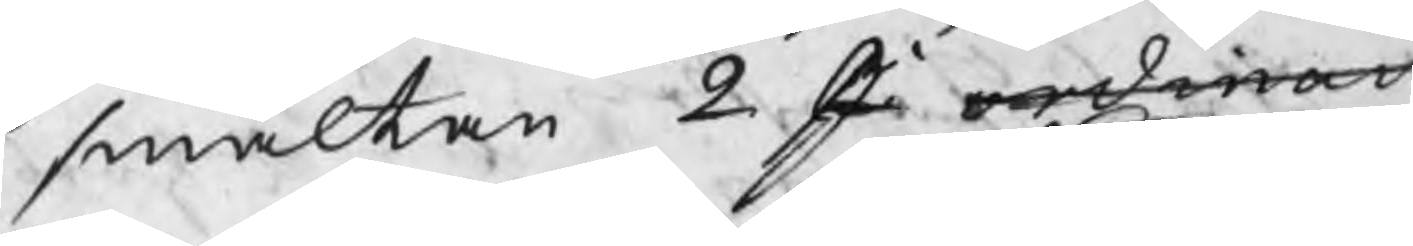smältan 2 st ordinarie
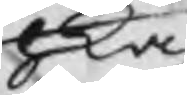hka
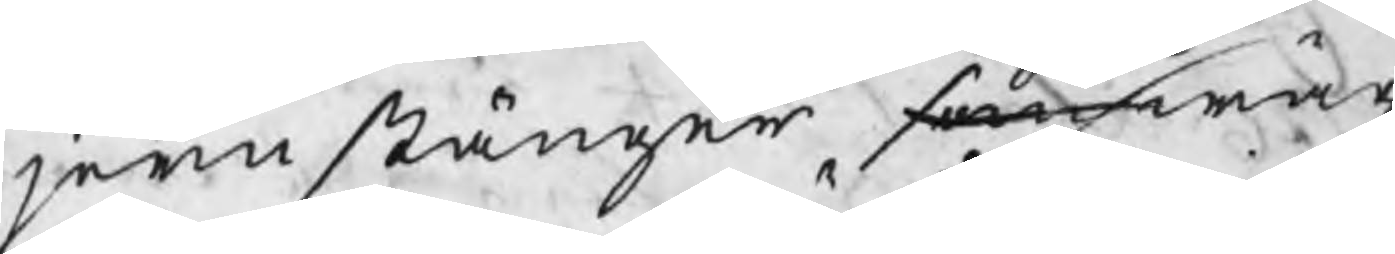jernstänger som wäg
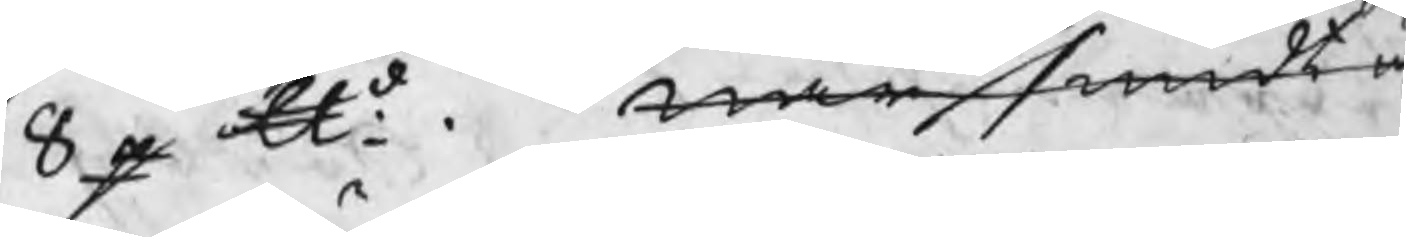8 p ℔d. När smidt u
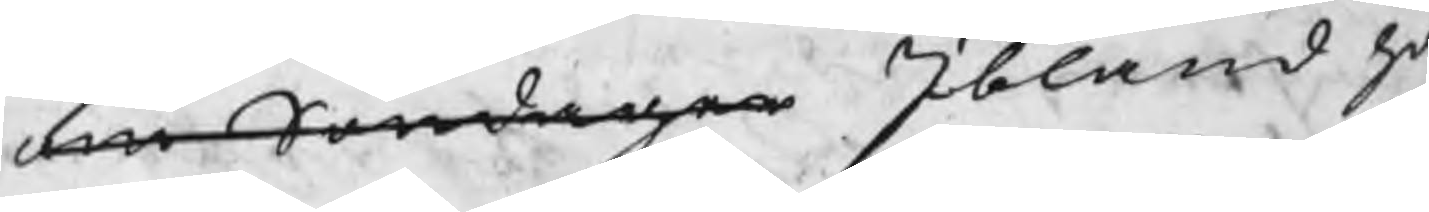om Söndagen Ibland ha
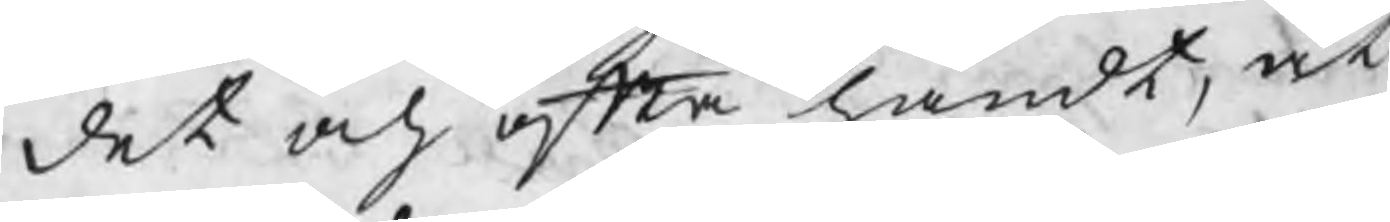det och ofta händt, at
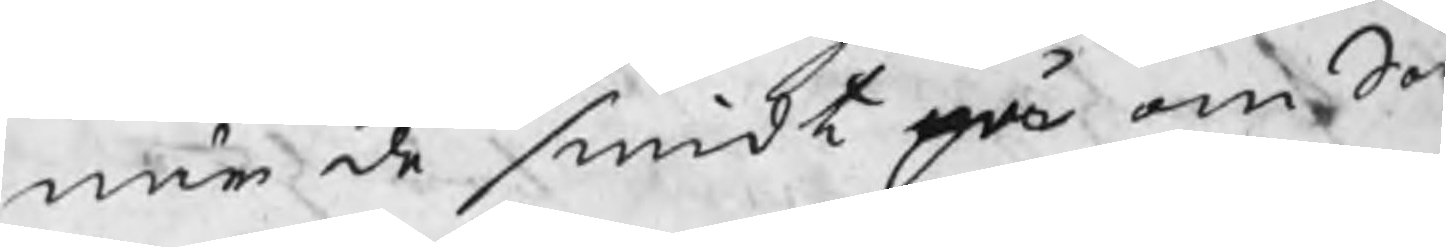när de smidt på om Sö
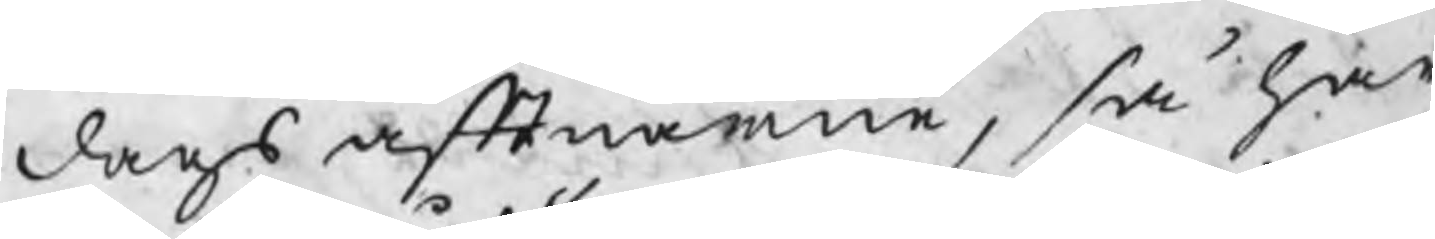dags aftnarne, så har
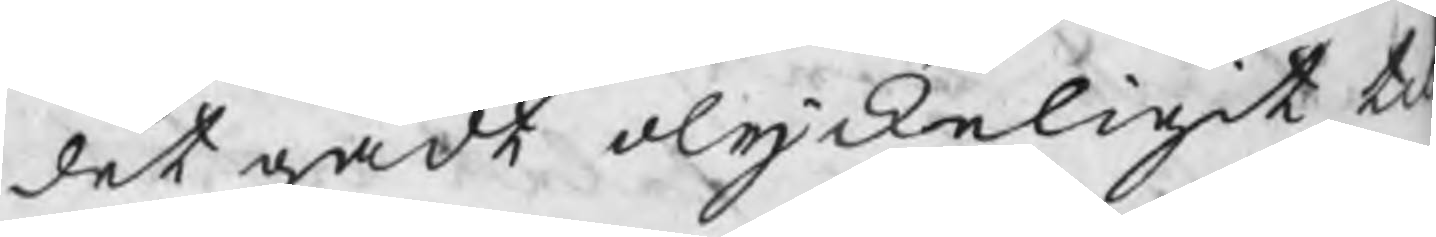det gådt olyckeligit ti
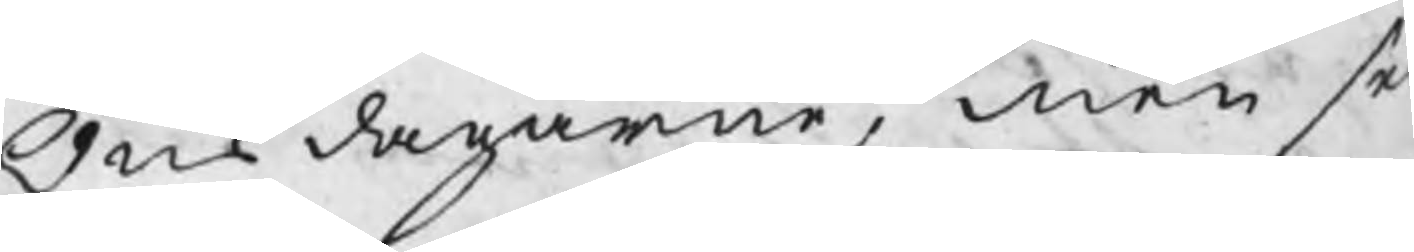Onsdagarne, men sed
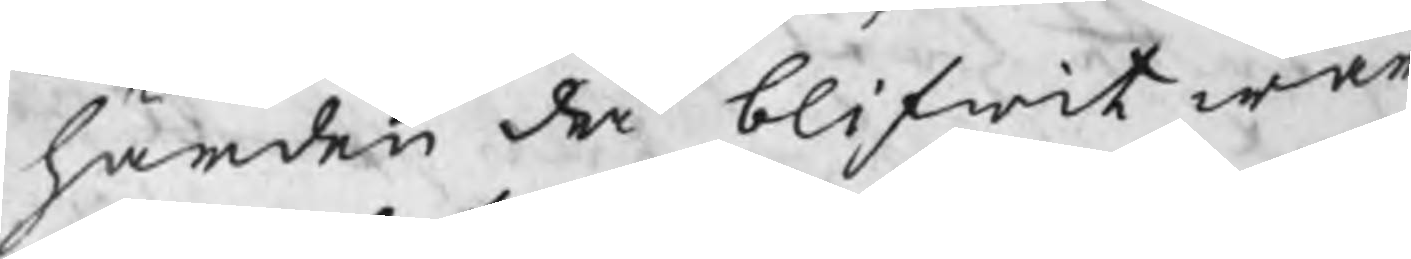härden då blifwit war
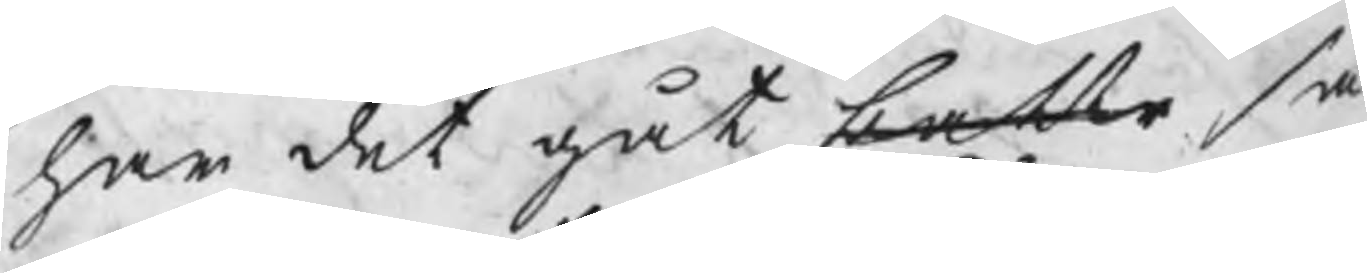har det gåt battr så
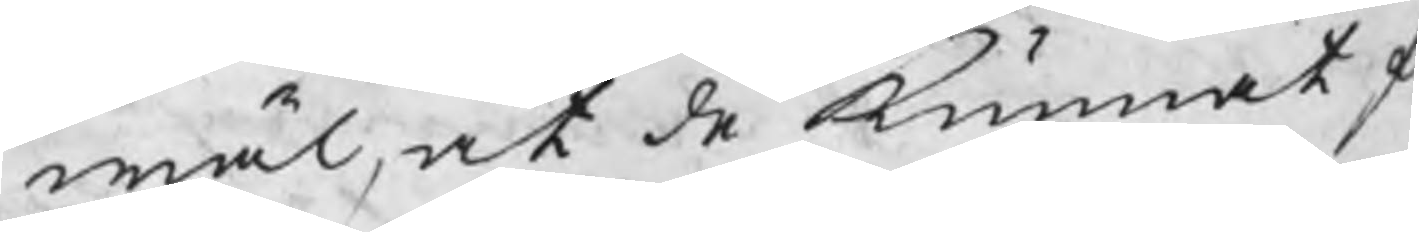wäl, at de kunnat f
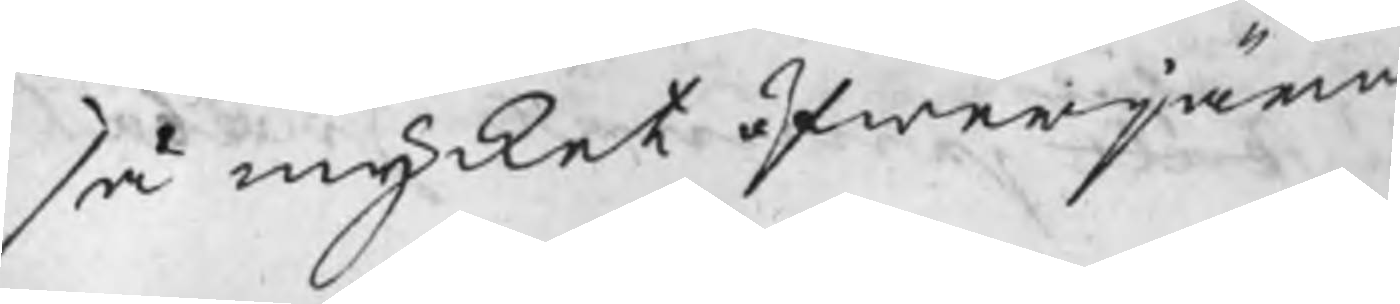så mycket öfwerjärn
